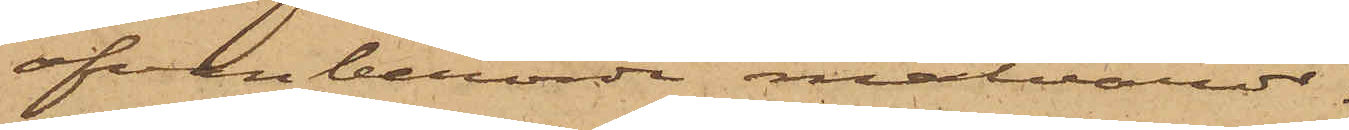ofvanberörde matvaror.
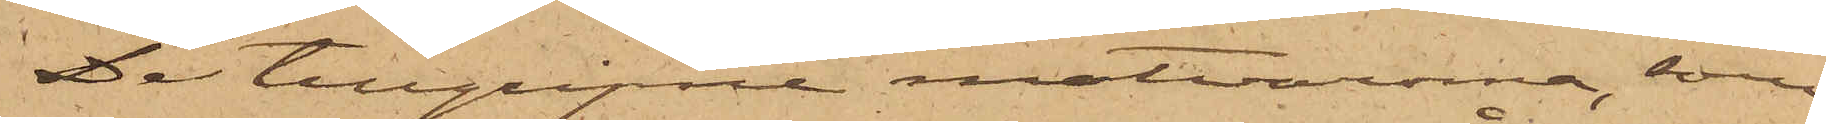De tillgripne matvarorna, som
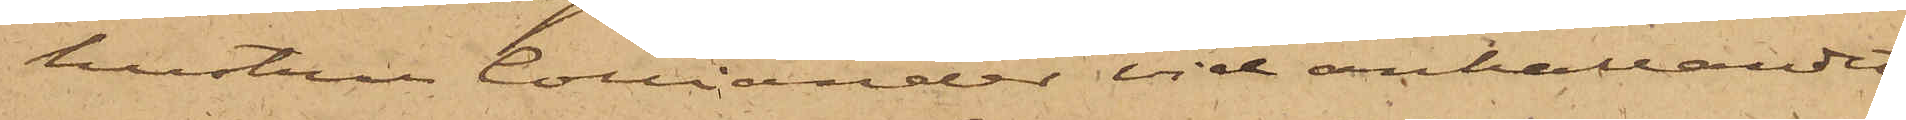hustrun Colliander vid anhållandet
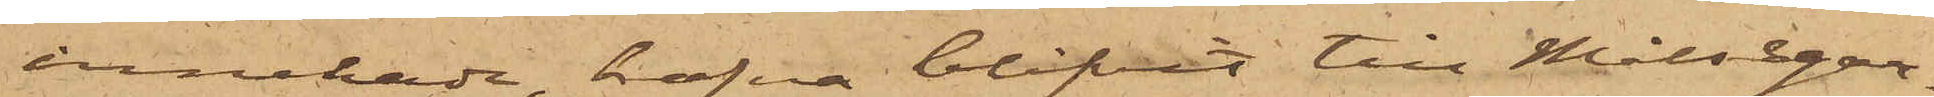innehade, hafva blifvit till Målsegar¬
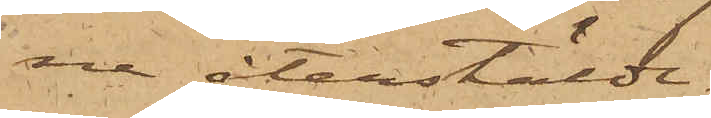na återstälde.
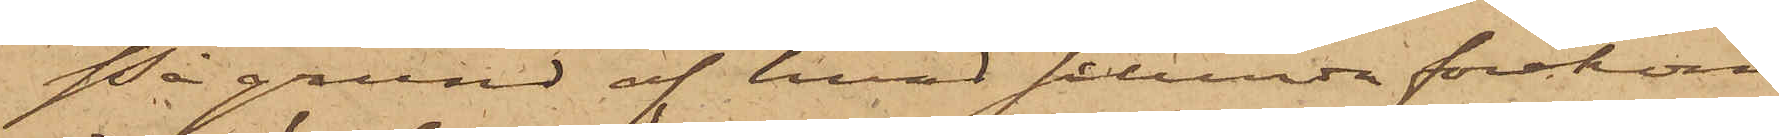På grund af hvad sålunda förekom¬
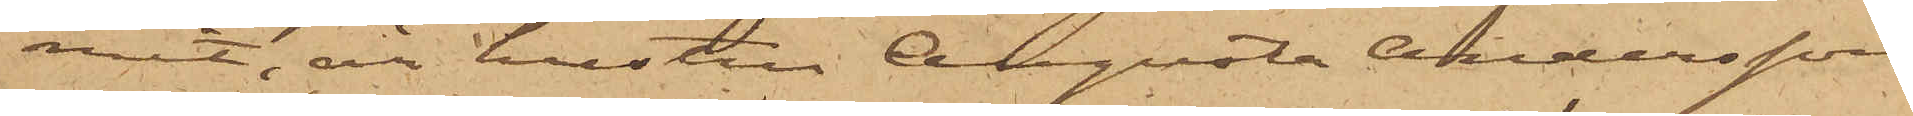mit, är hustru Augusta Andersson
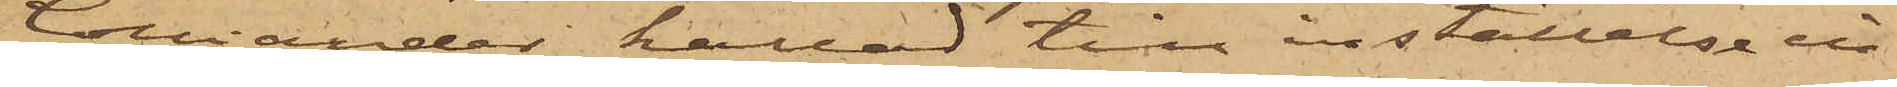Colliander kallad till inställelse in¬
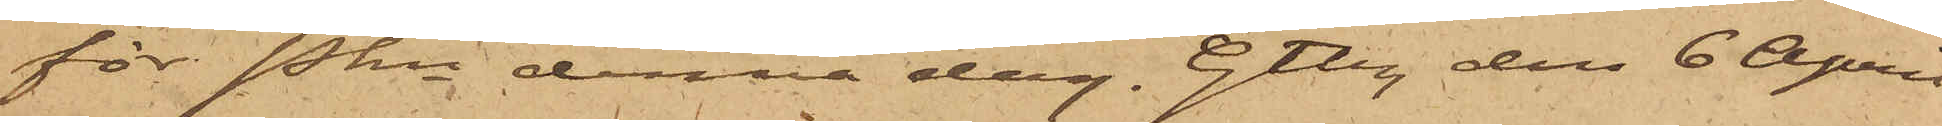för Pkn denna dag. Gtbg den 6 April
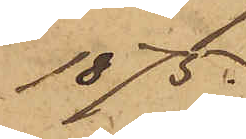1875.
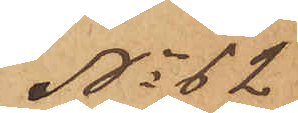No 62
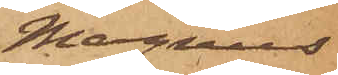Magnus
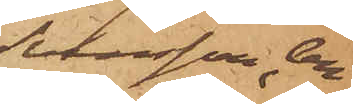Svensson, An¬
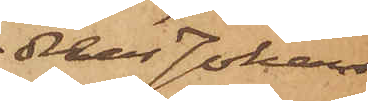dreas Johans¬
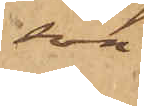son
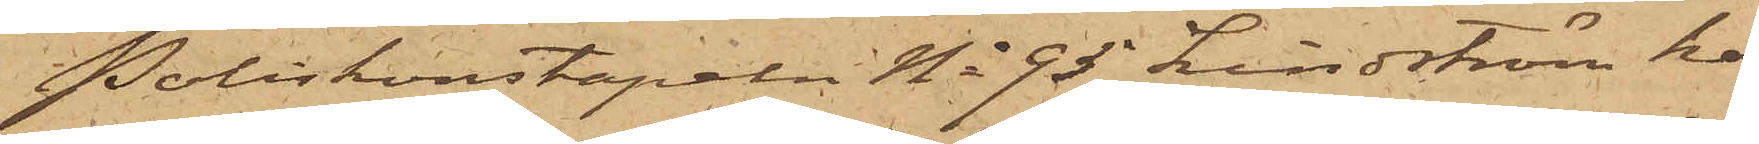Poliskonstapeln No 95 Lindström har
